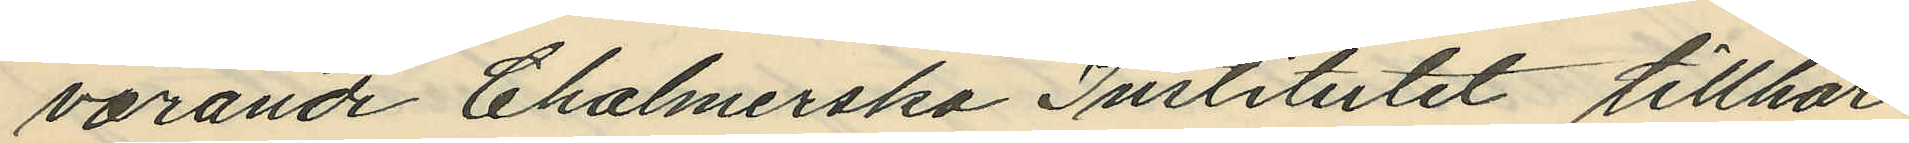varande Chalmerska Institutet tillhör
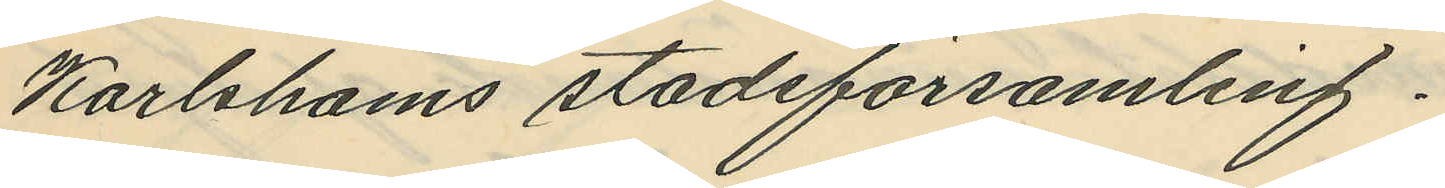Karlshams stadsförsamling.
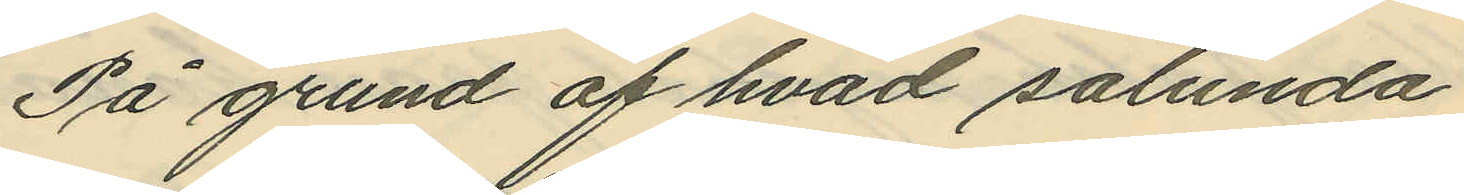På grund af hvad sålunda
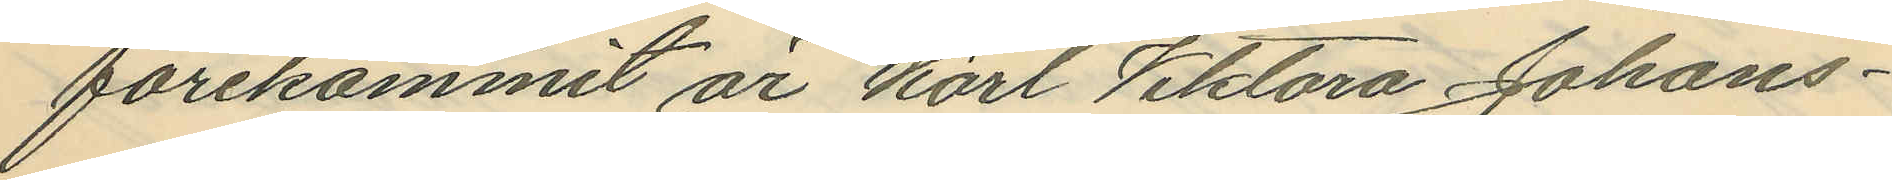förekommit är Karl Viktora Johans¬
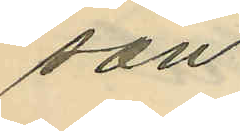son
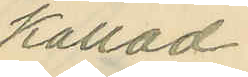kallad
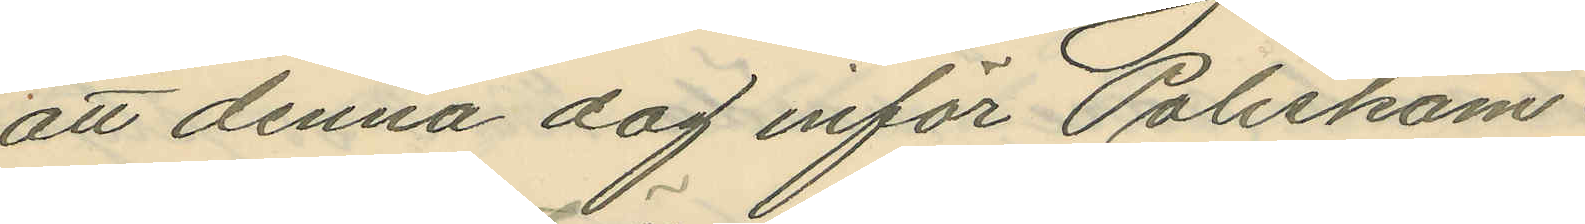att denna dag inför Poliskam¬
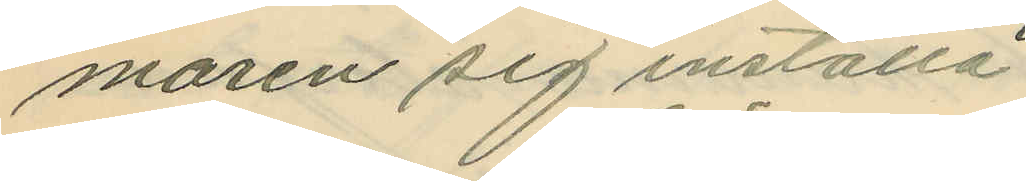maren sig inställa.
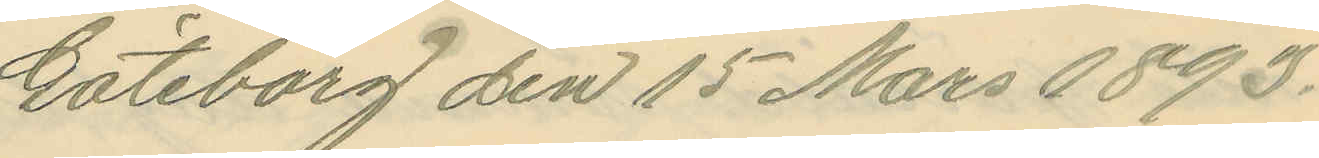Göteborg den 15 Mars 1893.
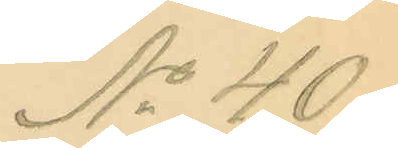No 40.
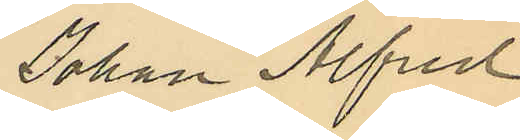Johan Alfred
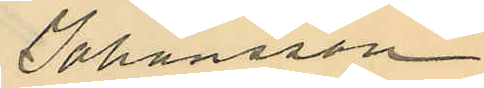Johansson
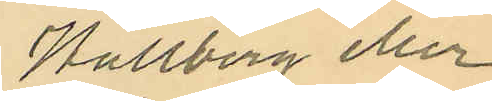Wallberg eller
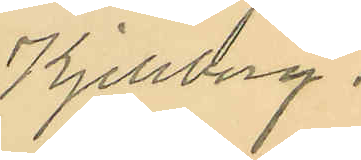Kjellberg.
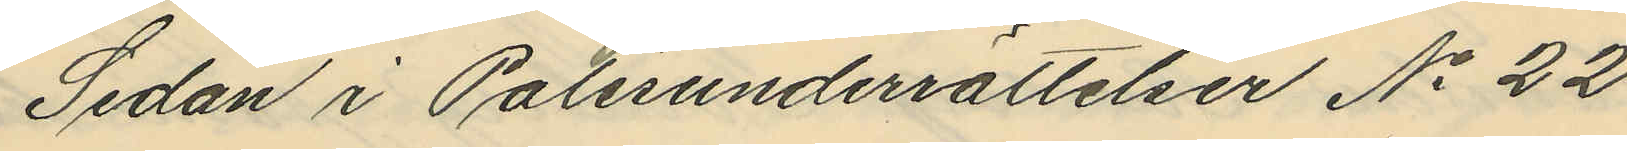Sedan i Polisunderrättelser No 22
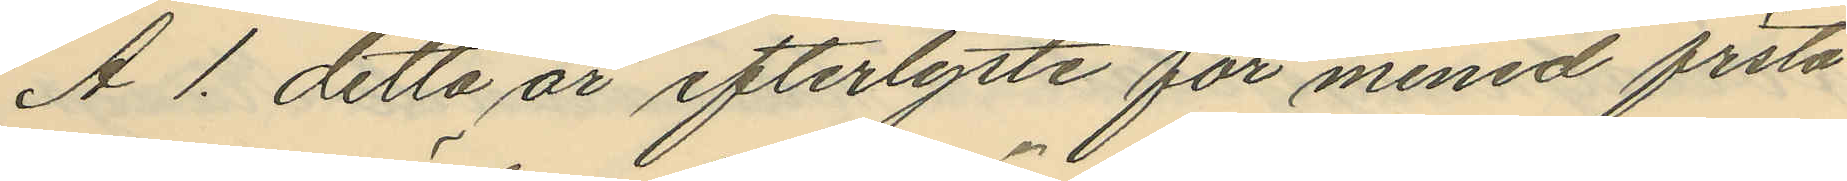A. 1. detta år efterlyste för mened första
